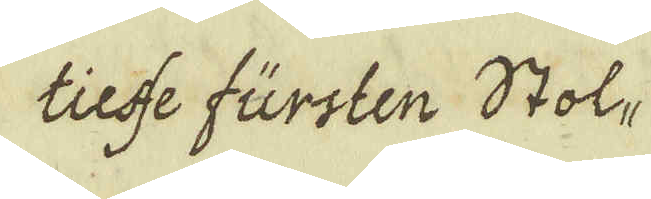tieffe fürsten Stol-
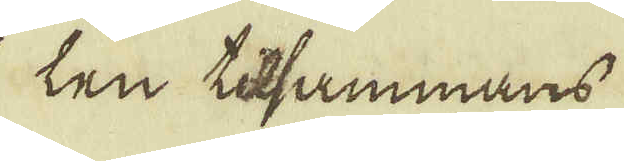len tilsammans
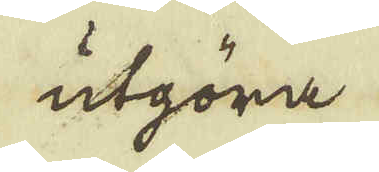utgöra
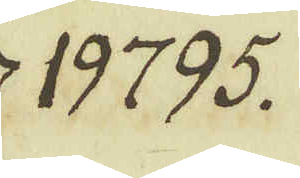19795.
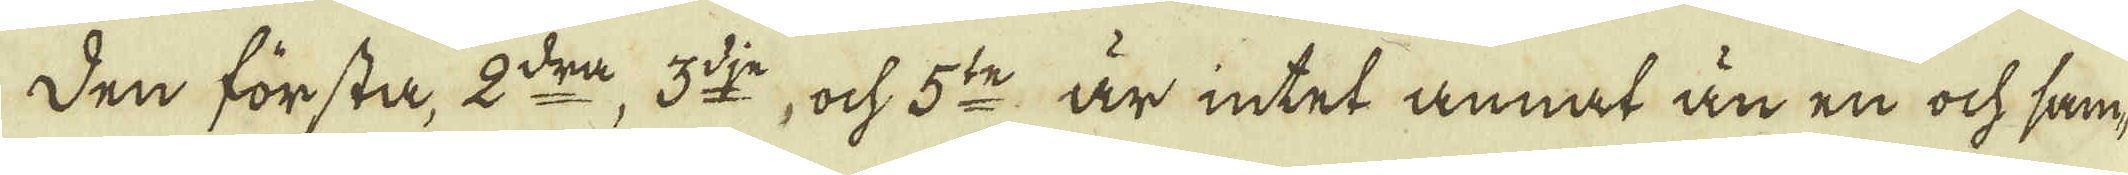Den första, 2:dra, 3:dje, ock 5:to är intet annat än en ock sam-
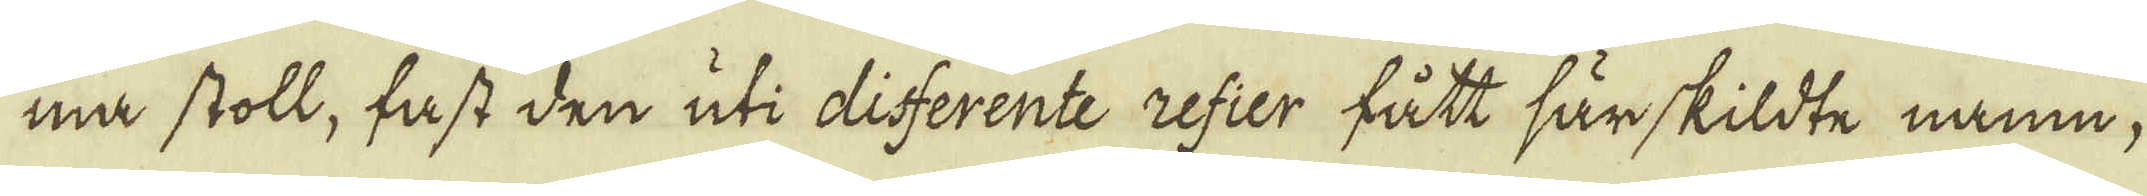ma stoll, fast den uti disserente refier fått särskildte namn;
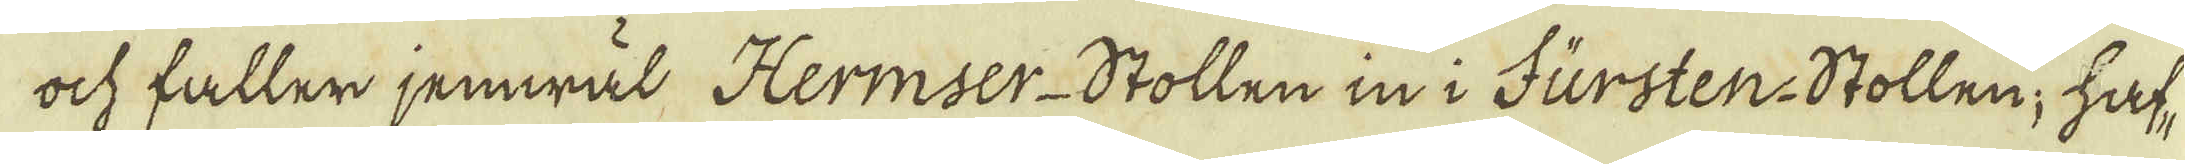ock faller jemwäl Hermser-Stollen in i Fursten-Stollen, haf-
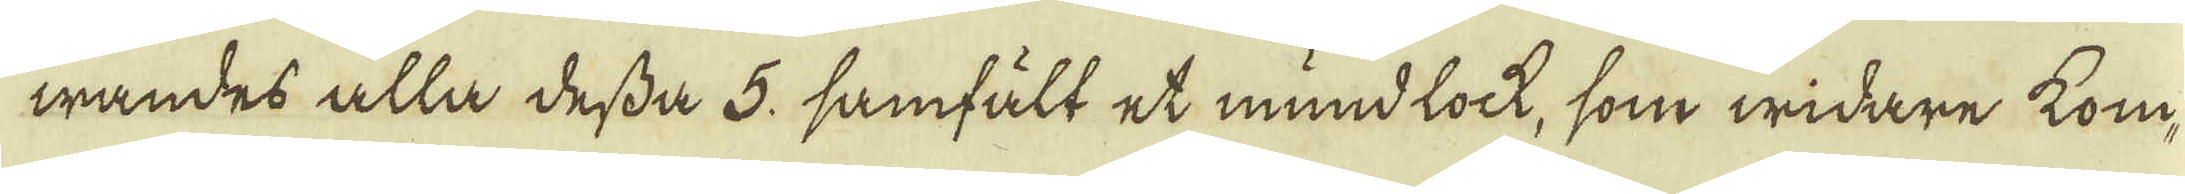wandes alla dessa 5, samfält et mundlock, som widare kom-
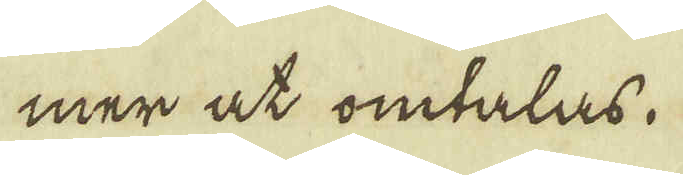mer at omtalas.
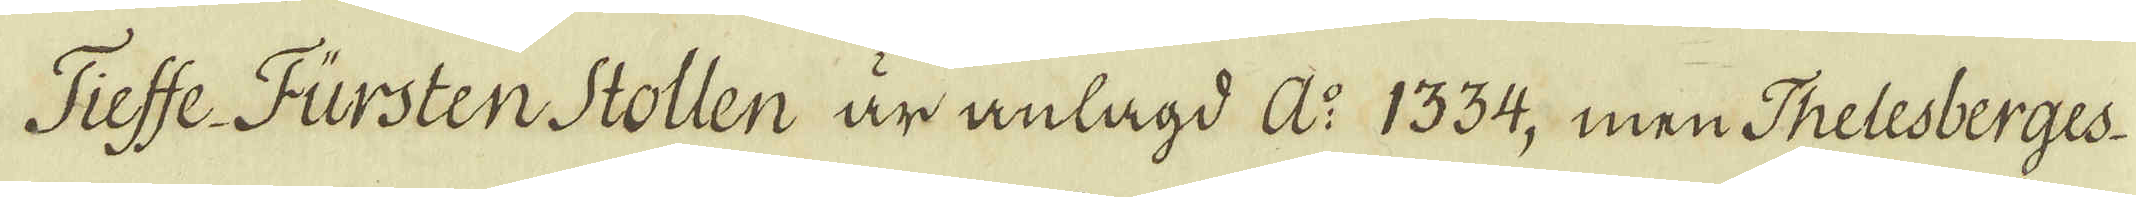Tiesse Fursten Stollen är anlagd A:o 1334, men Thelesberges
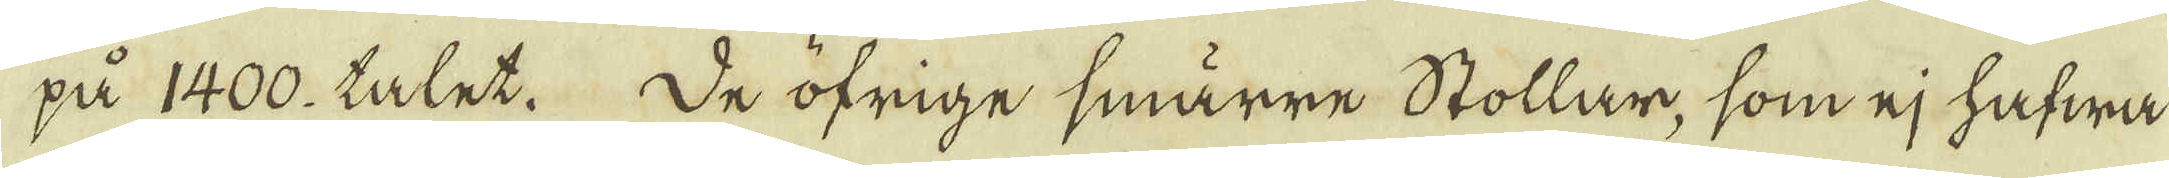på 1400. talet. De öfrige smärre Stollar, som ej hafwa
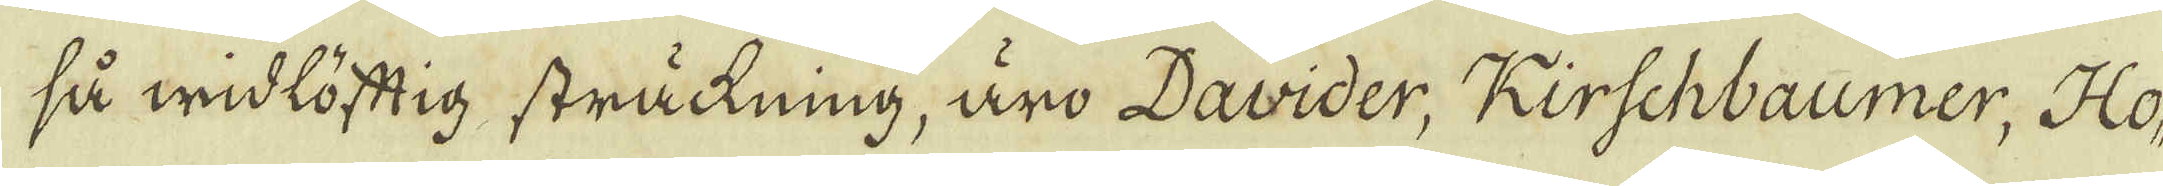så widlöftig sträckning, äro Davider, Rirschbaumer, Ho-
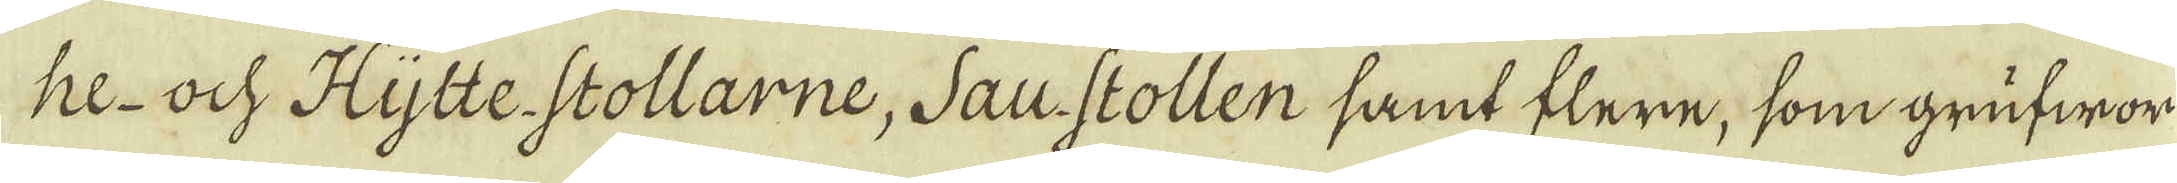he- och Hytte Stollarne, Saus stollen samt flere, som grufwor
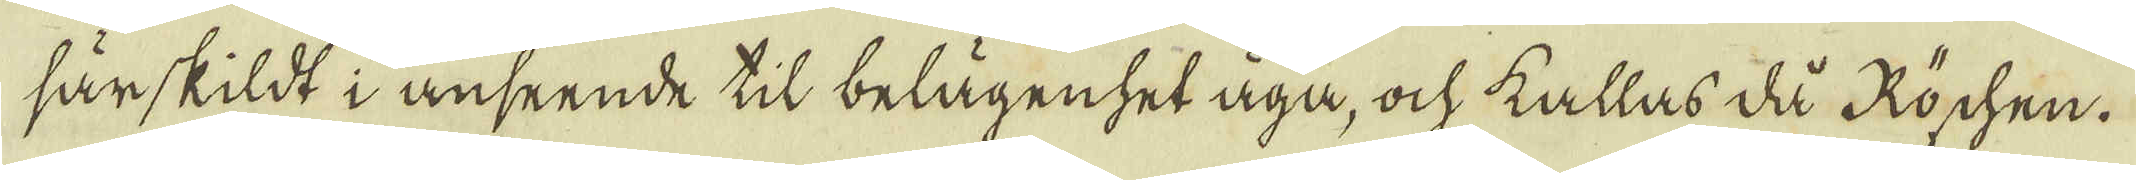särskildt i anseende til belägenhet äga, ock kallas då Roschen.
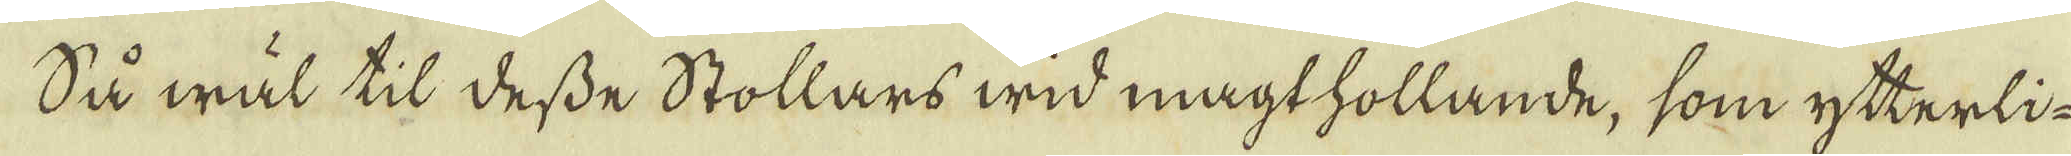Så wäl til desse Stollars wid magthollande, som ytterli-
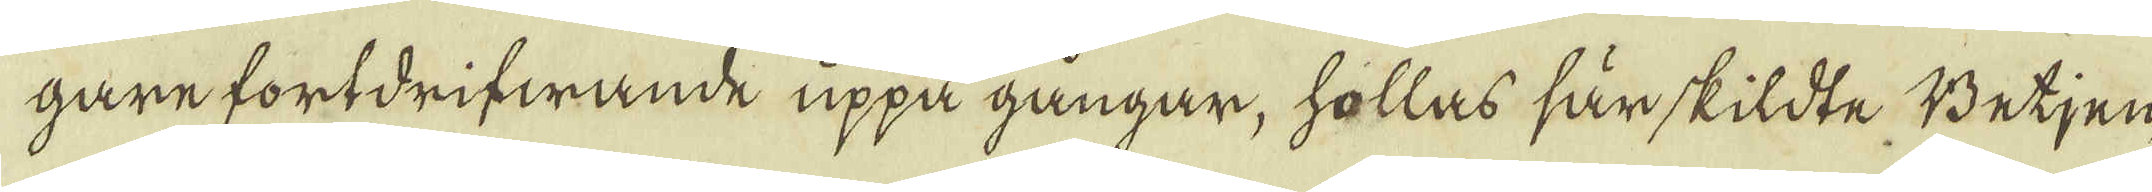gare fortdrifwande uppå gångar, hollas särskildte Betjen-
